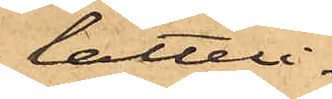lätterli¬
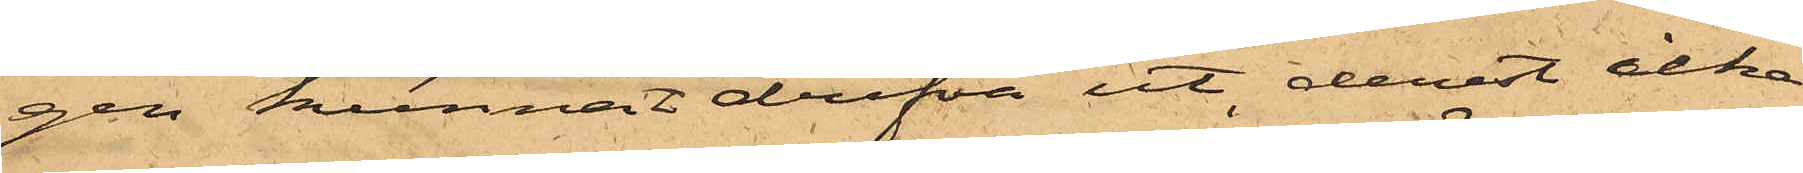gen kunnat drifva ut, derest icke
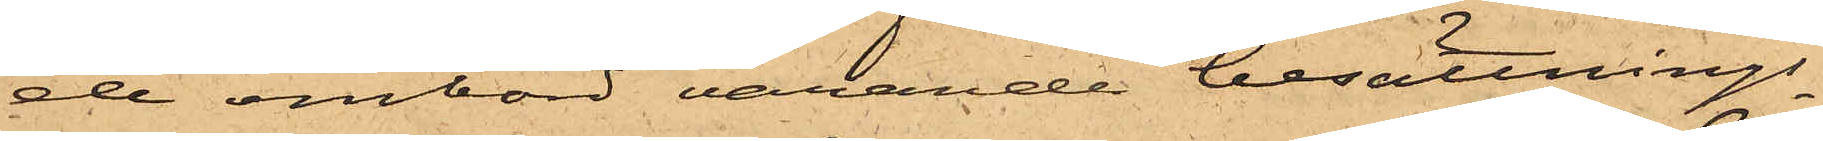de ombord varande besättnings¬
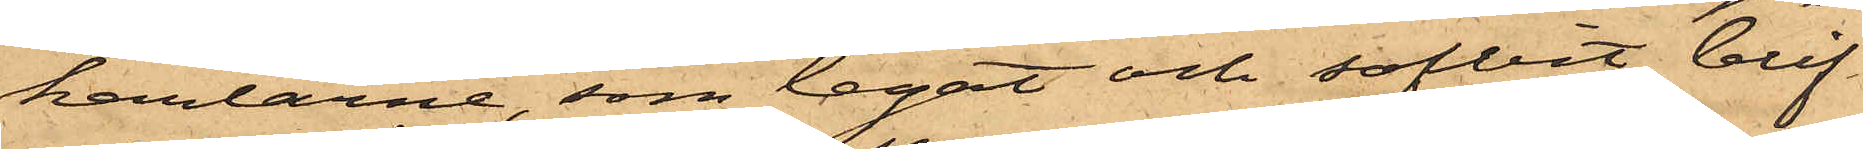karlarne, som legat och sofvit, blif¬
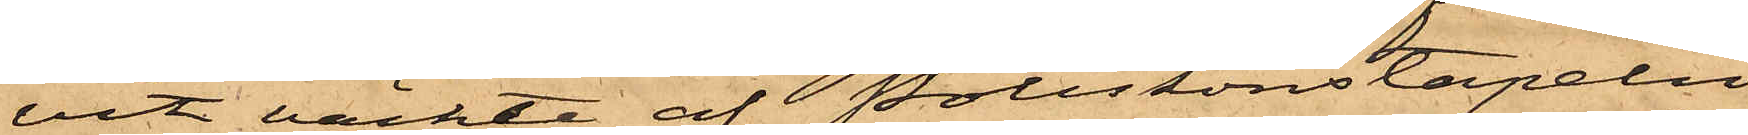vit väckte af Poliskonstapeln
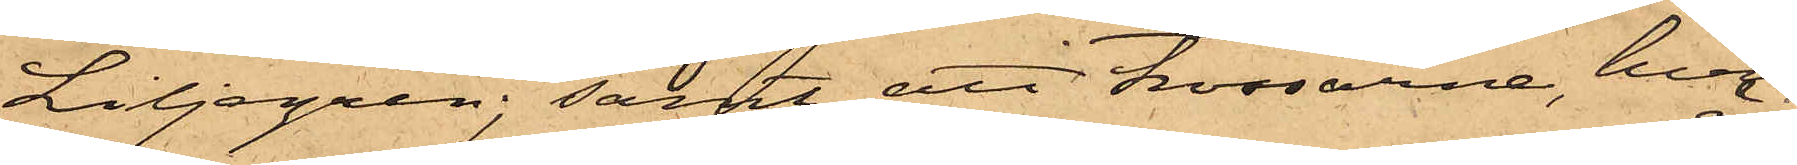Liljegren; samt att trossarne, hvil¬
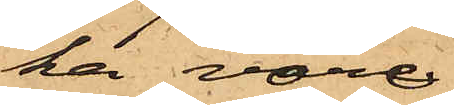ka vore
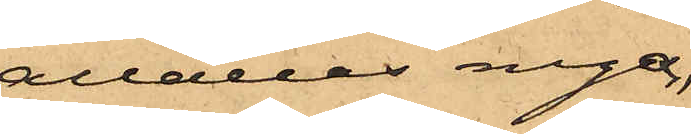alldeles nya,
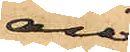äro
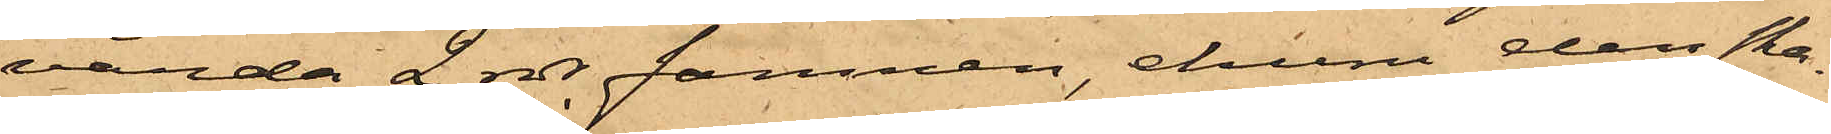värda 2 rdr famnen, ehuru den ska¬
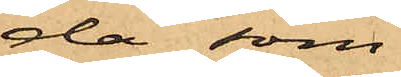da som
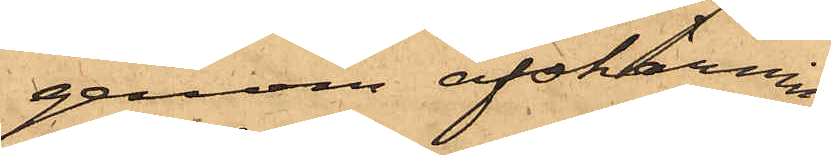genom afskärnin¬
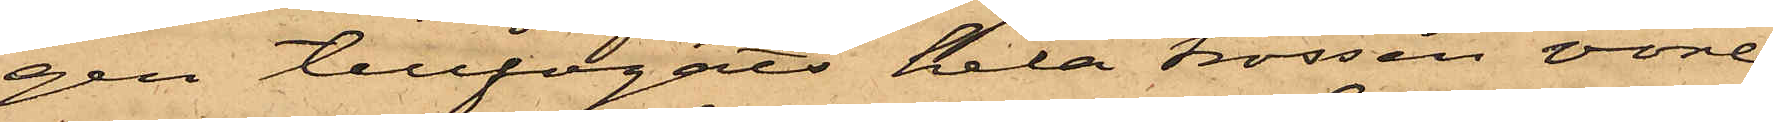gen tillfogats hela trossen vore
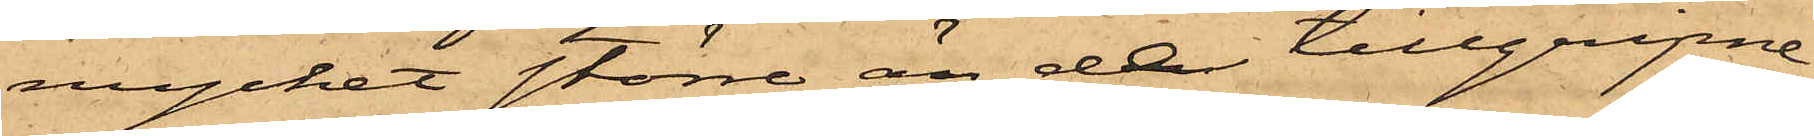mycket större än de tillgripne
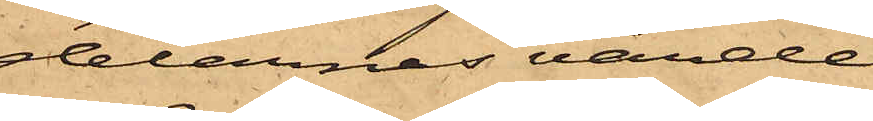delarnas värde.
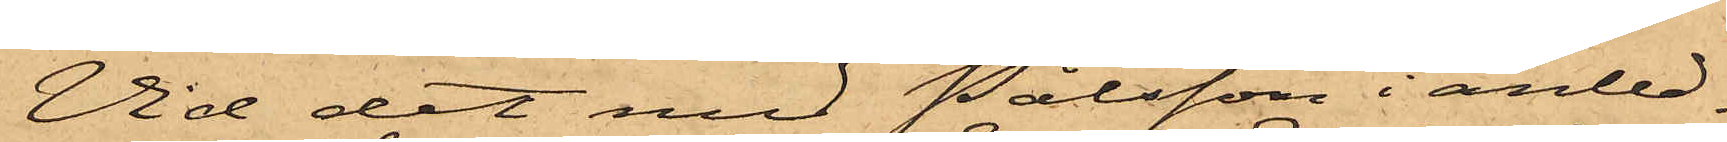Vid det med Pålsson i anled¬
